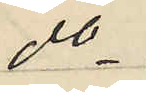do
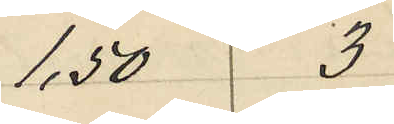1,50 3
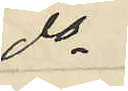do
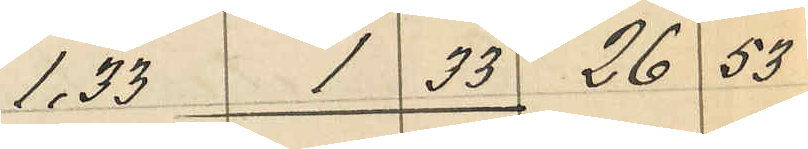1.33 1,33 26 53
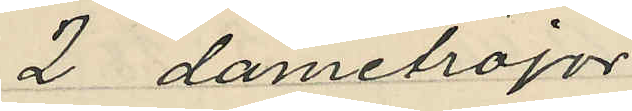2 dametröjor
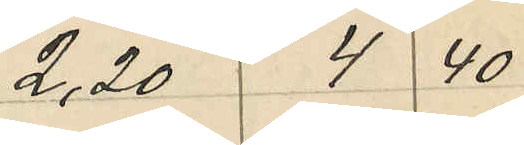2,20 4 40
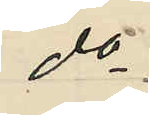do
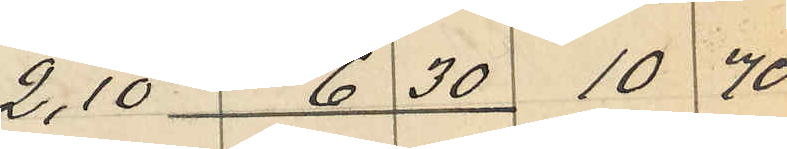2,10 6 30 10 70
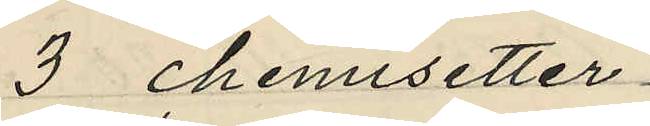3 chemisetter
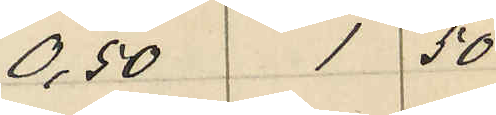0,50 1 50
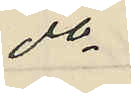do
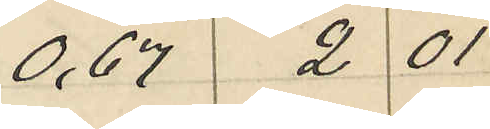0,67 2 01
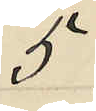5:
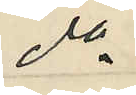do
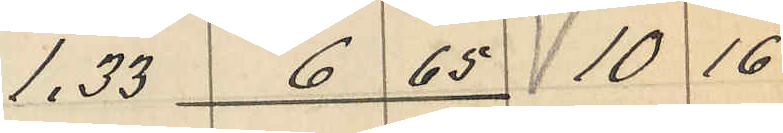1.33 6 65 10 16
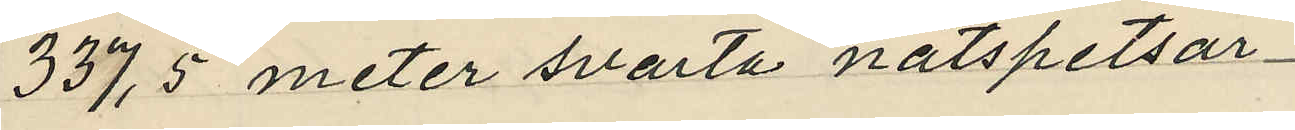337,5 meter svarta nätspetsar
